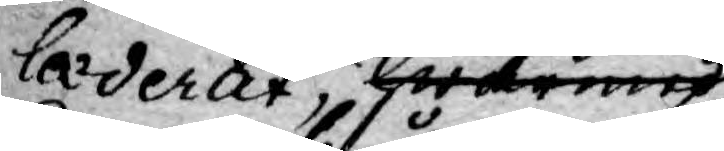læderat hwarmed
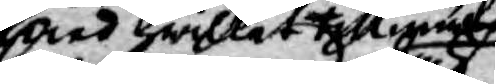och hwilket tillyrka
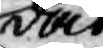dock
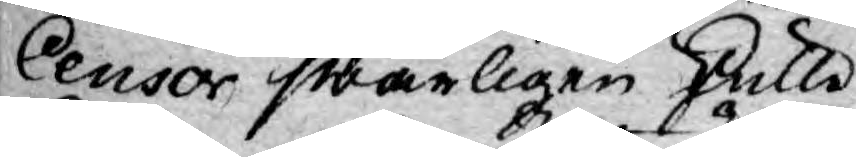Censor swårligen skulle
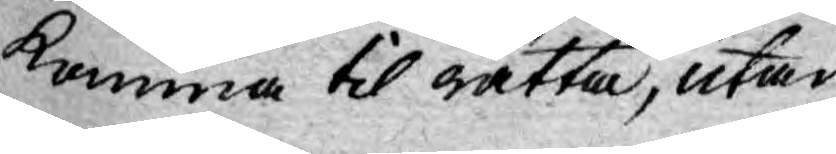komma til rätta, utan
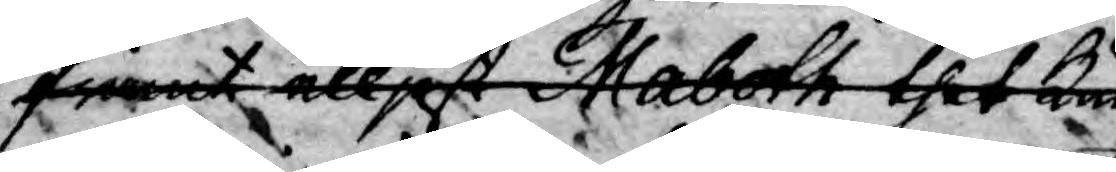framt elljest Maboth thet kun
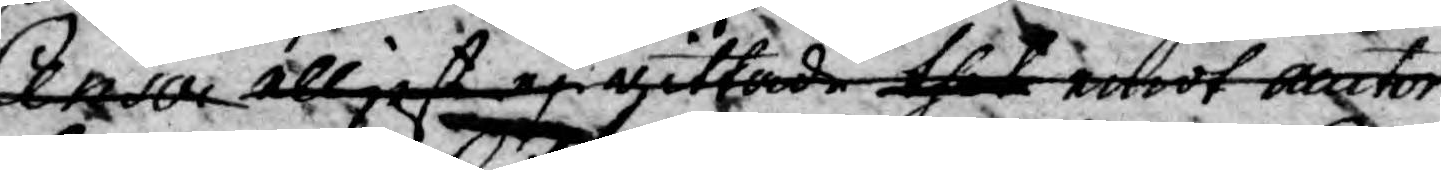Censor elljest ej gittade thet emot auctor
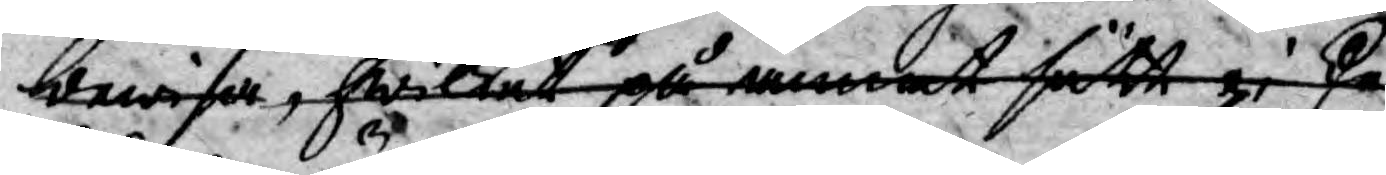bewisa, hwilket på annat sättt ej ske
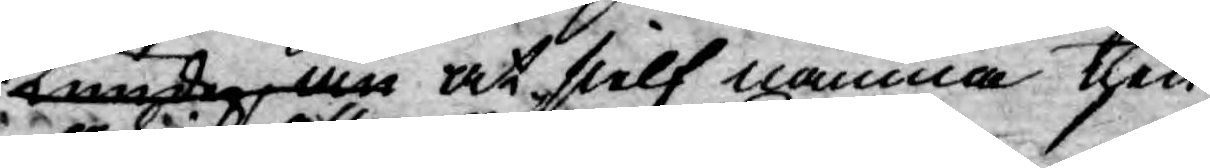kunde än at sielf nämna then
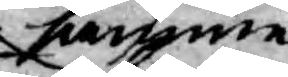samme
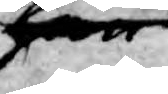han
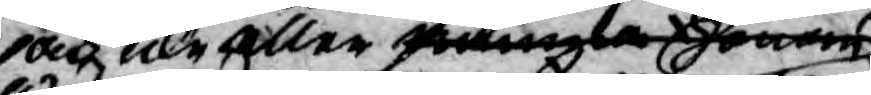och icke eller nämna honom
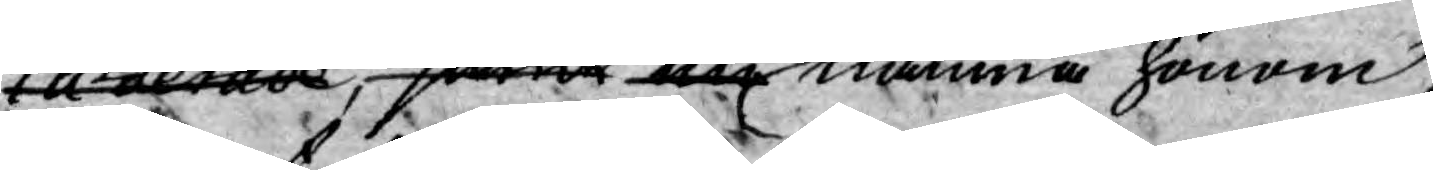læderade, samt nu nämna honom,
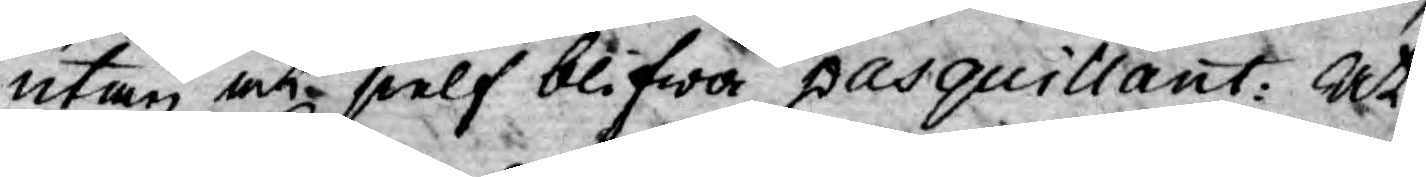utan at sielf blifwa pasquillant: At
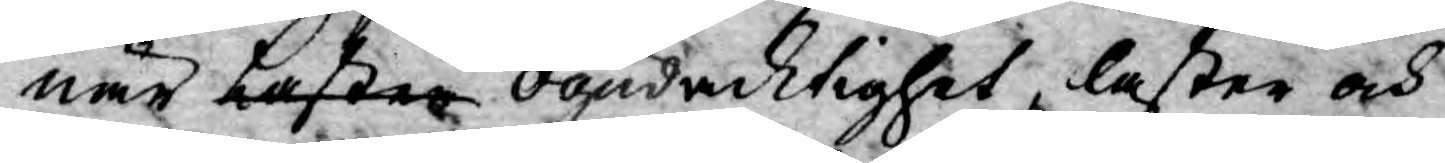när Laster ogudacktighet, laster och
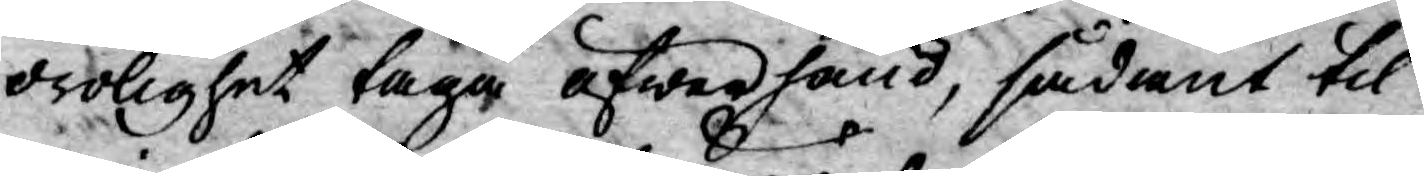orolighet taga öfwerhand, sådant til
